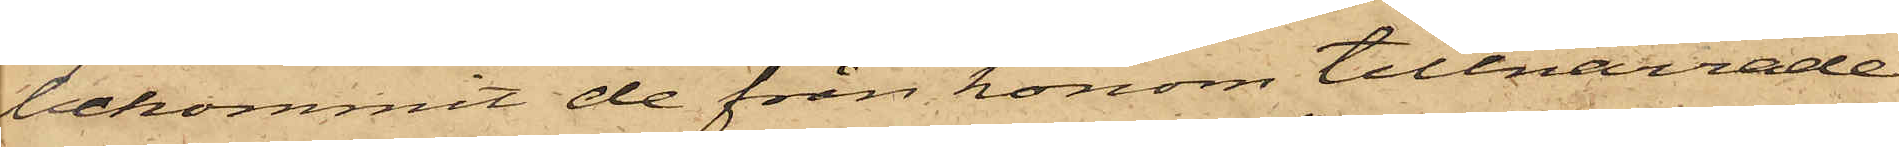bekommit de från honom tillnarrade
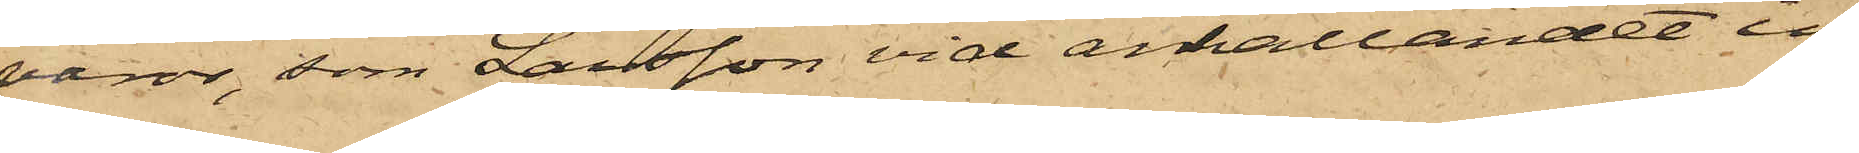varor, som Larsson vid anhållandet in¬
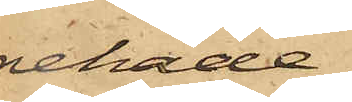nehade.
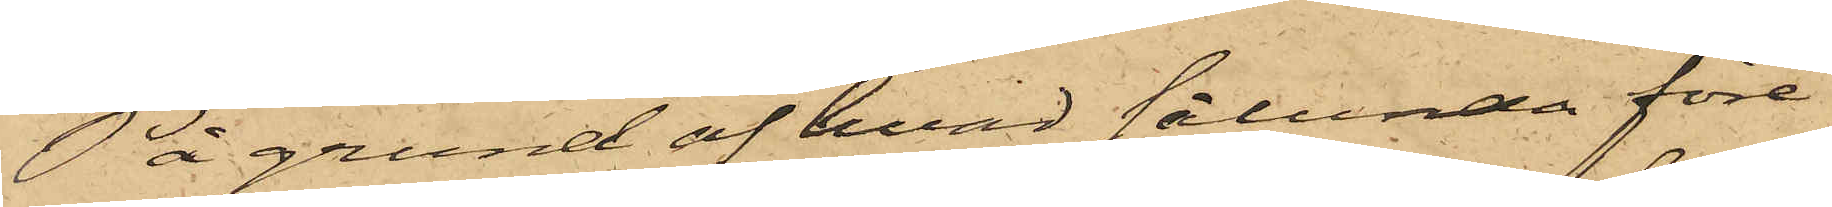På grund af hvad sålunda före¬
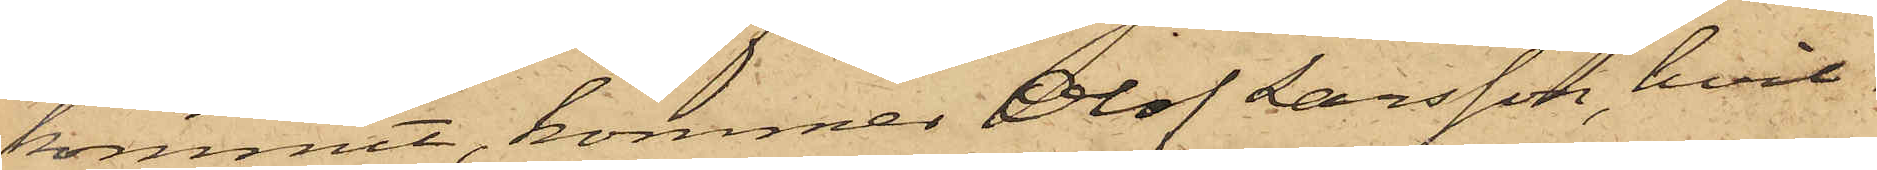kommit, kommer Olof Larsson, hvil¬
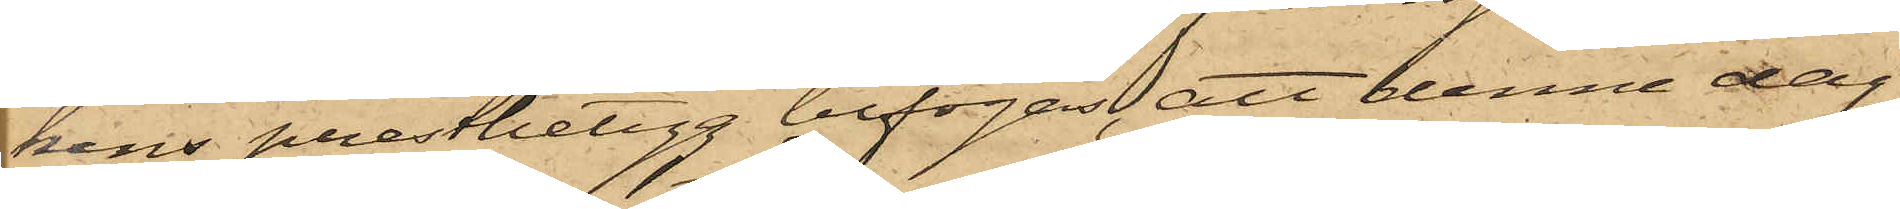kans prestbetyg bifogas, att denne dag
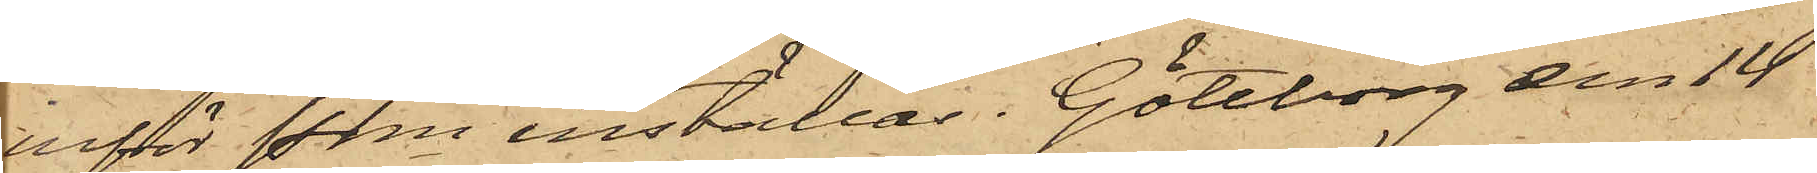inför Pkn inställas. Göteborg den 14
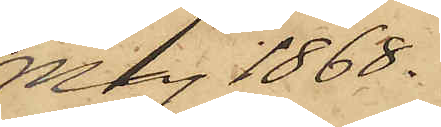Maj 1868.
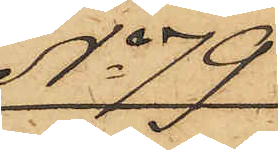No 79
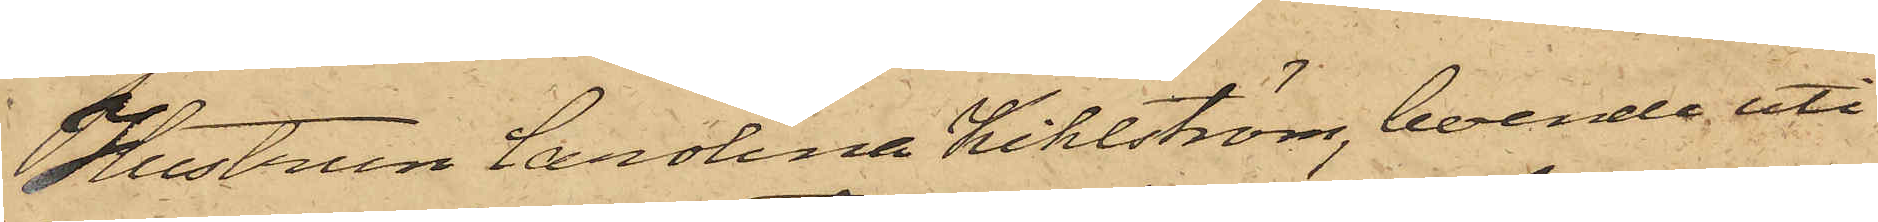Hustrun Carolina Kihlström, boende uti
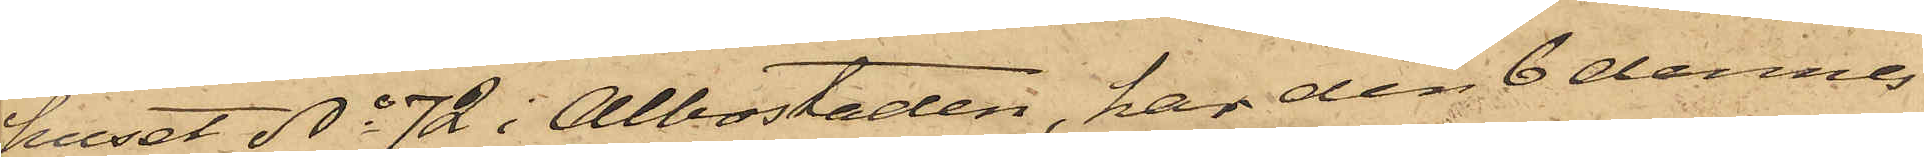huset No 72 i Albostaden, har den 6 dennes
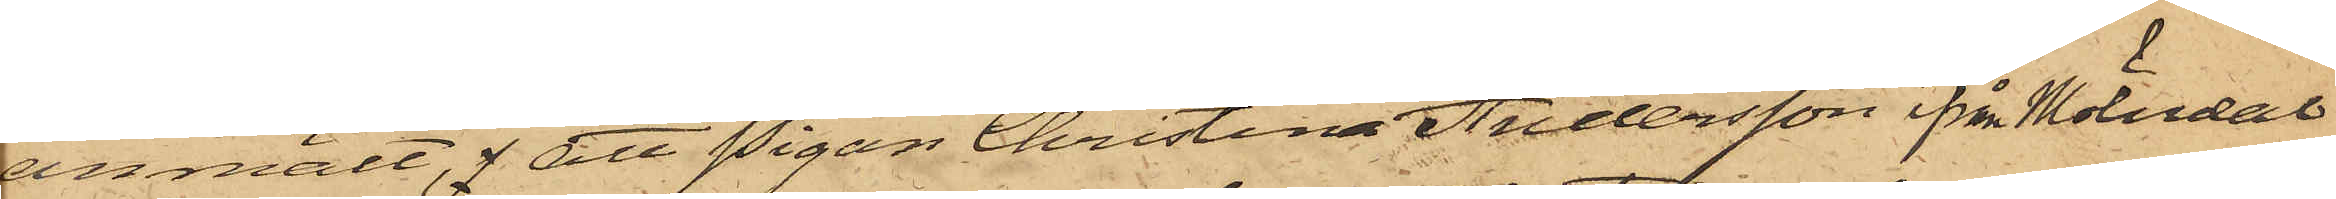anmält, f att Pigan Christina Andersson från Mölndal
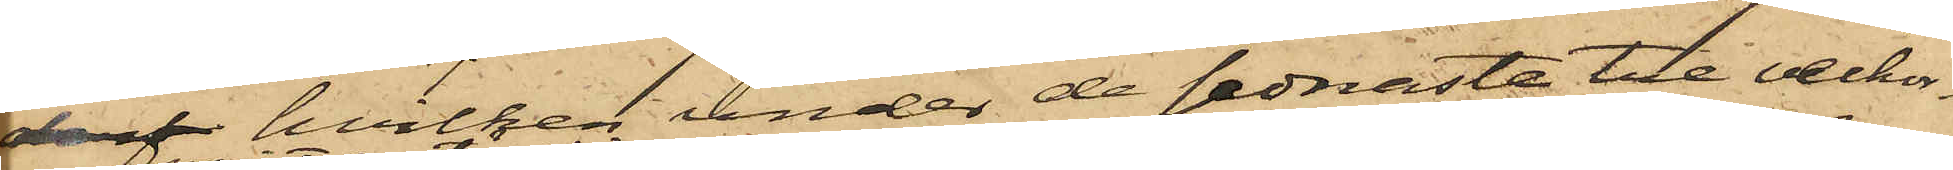derf hvilken under de sednaste tre veckor¬
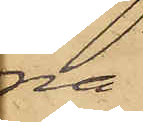na
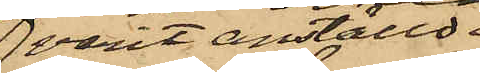varit anställd i
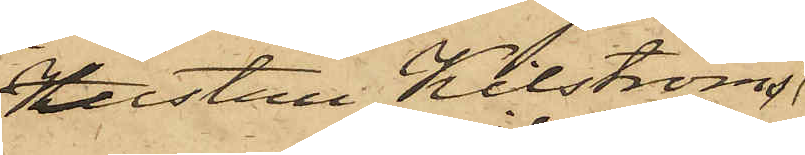hustru Kilströms
